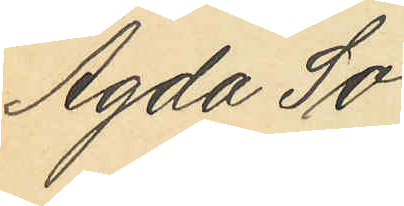Agda So¬
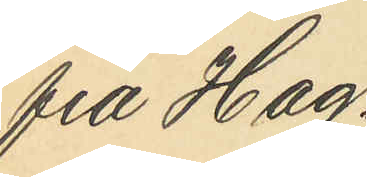fia Hag¬
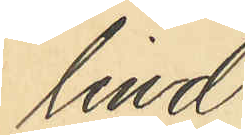lind
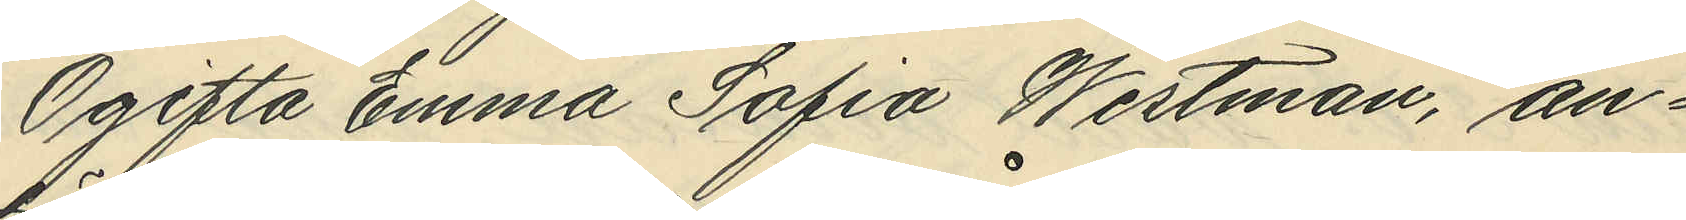Ogifta Emma Sofia Westman, an¬
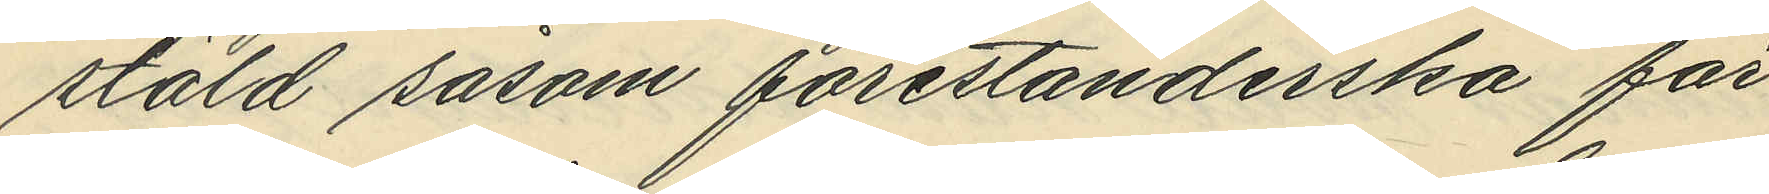stäld såsom förestånderska för
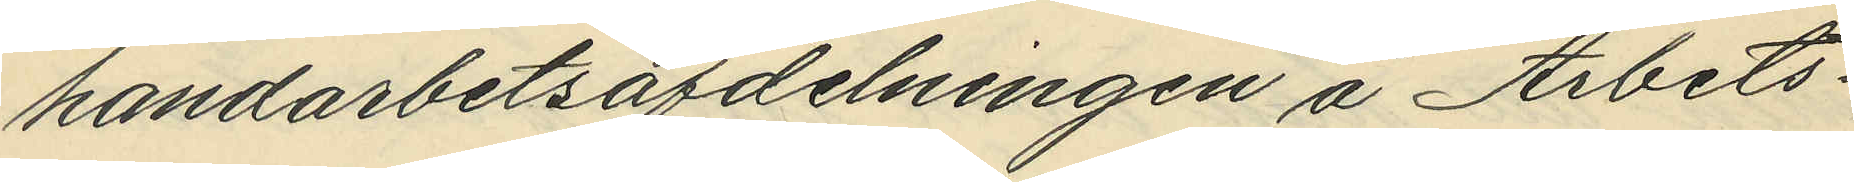handarbetsafdelningen å Arbets¬
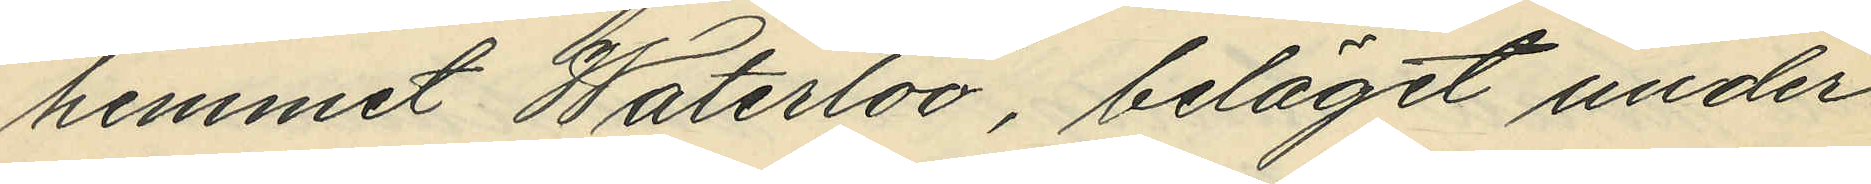hemmet Waterloo, beläget under
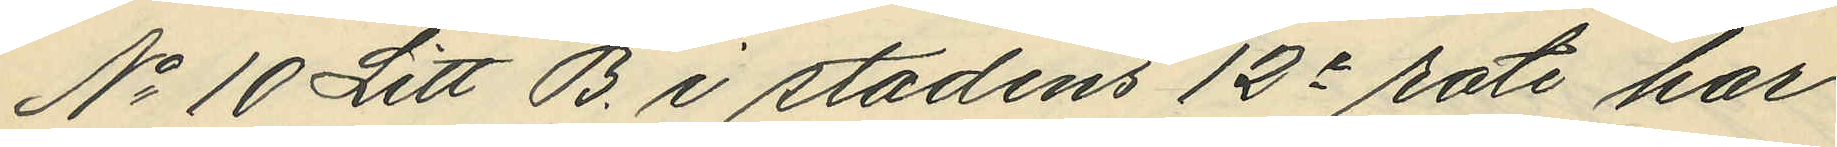No 10 Litt B. i stadens 12e rote har
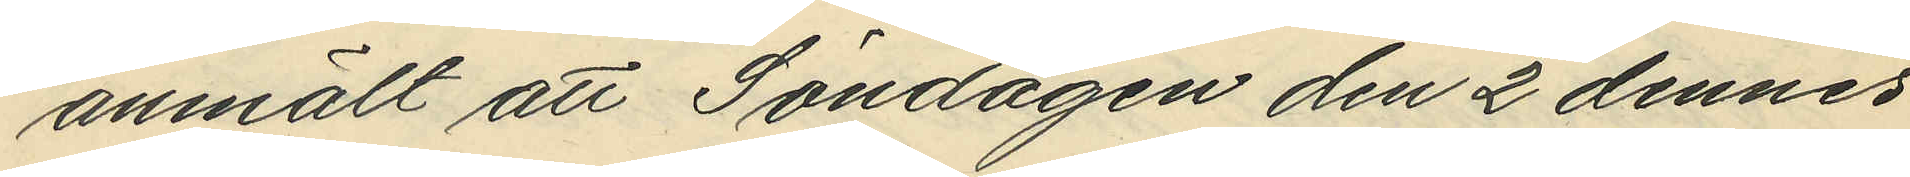anmält att Söndagen den 2 dennes
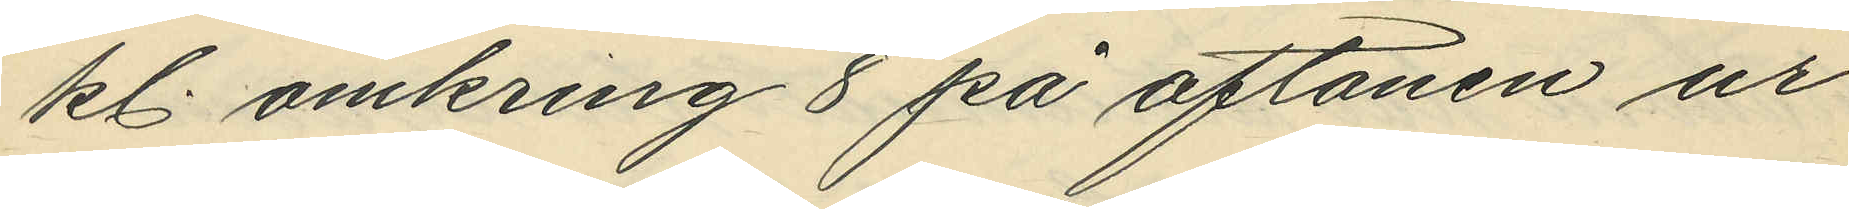kl. omkring 8 på aftonen ur
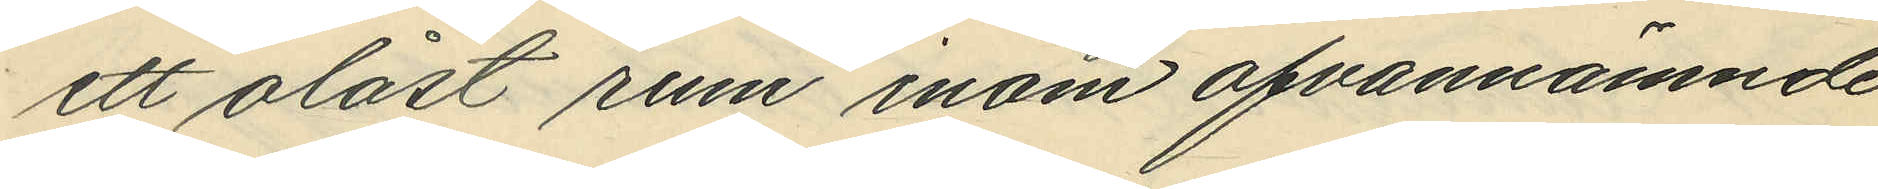ett olåst rum inom ofvannämnde
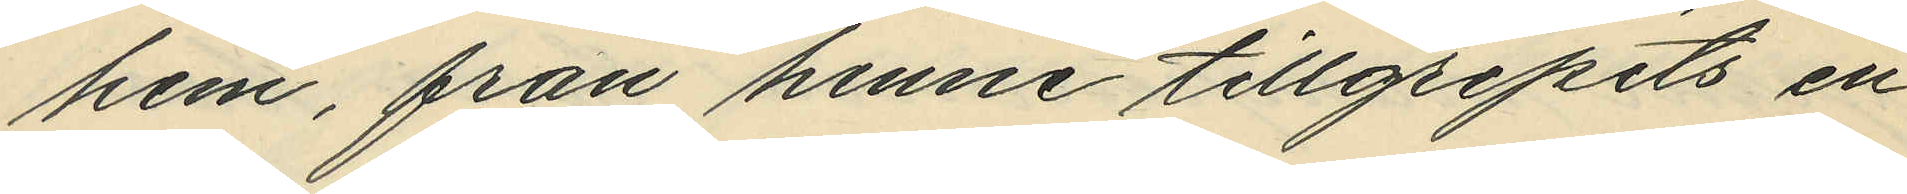hem, från henne tillgripits en
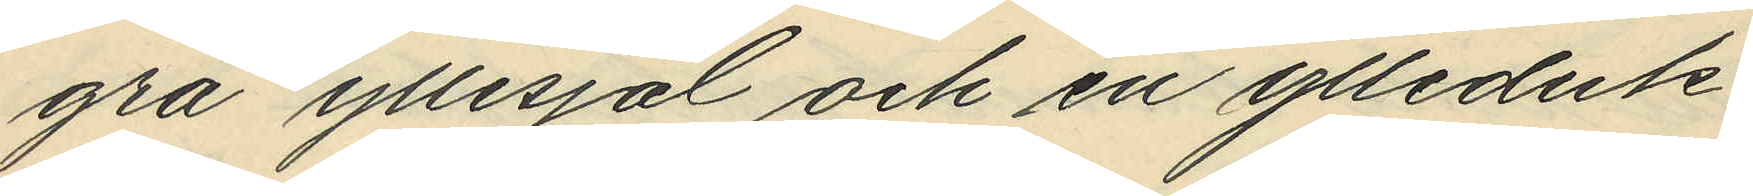grå yllesjal och en ylleduk,
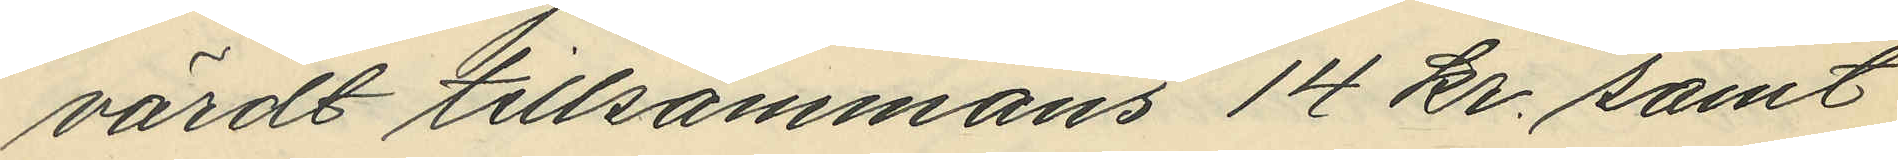värdt tillsammans 14 kr. samt
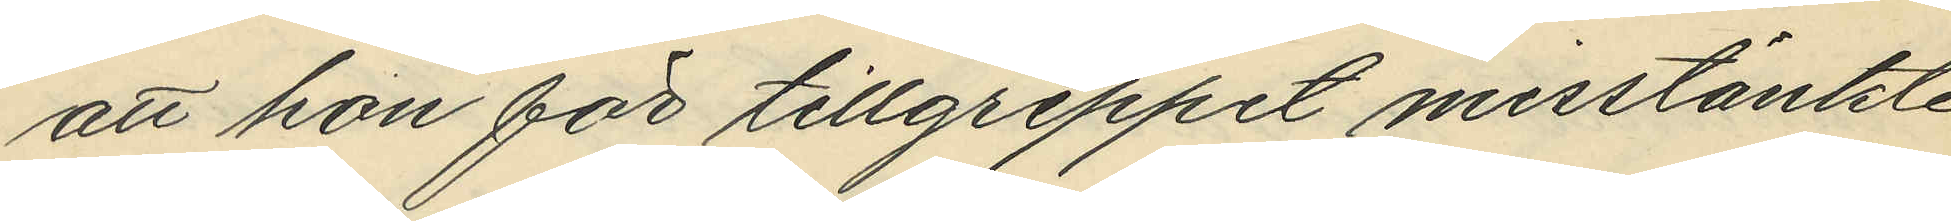att hon för tillgreppet misstänkte
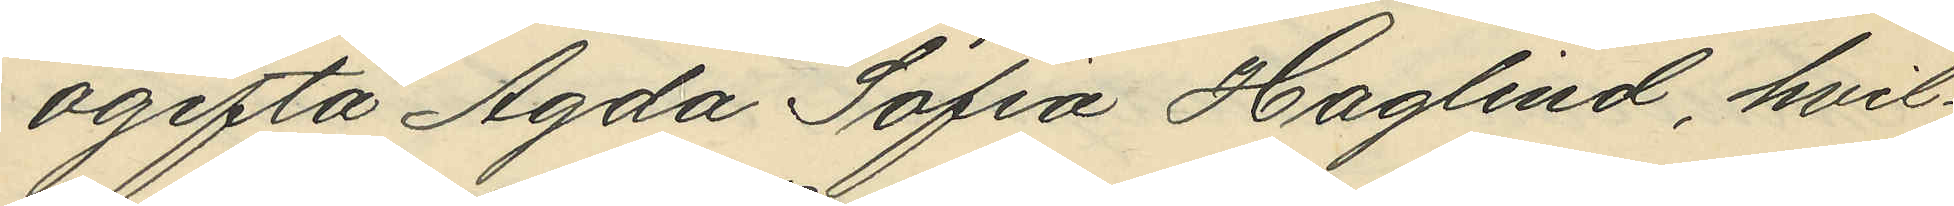ogifta Agda Sofia Haglind, hvil¬
